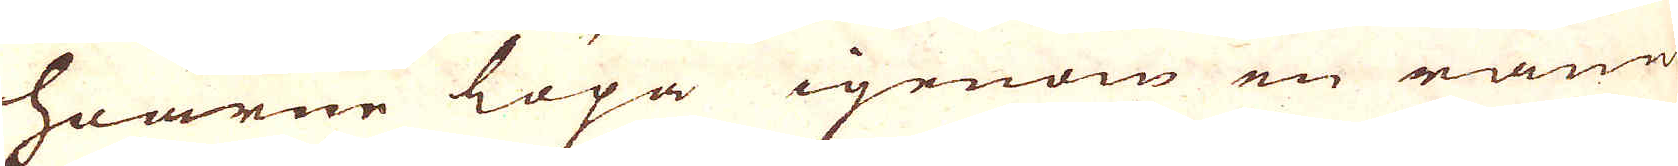hoarne löpa igenom en räna
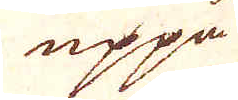uppå
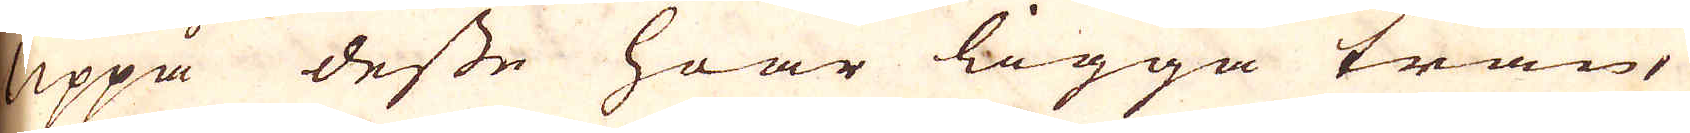uppå desse hoar ligga trän,
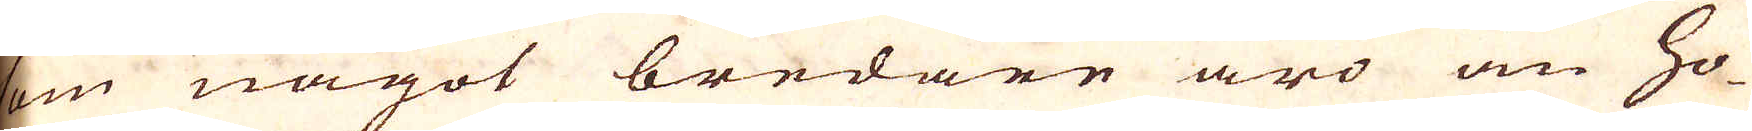som något bredare äro än ho-
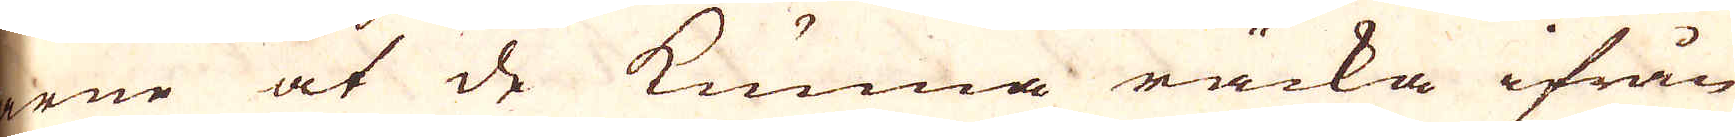arne at de kunna räcka ifrån
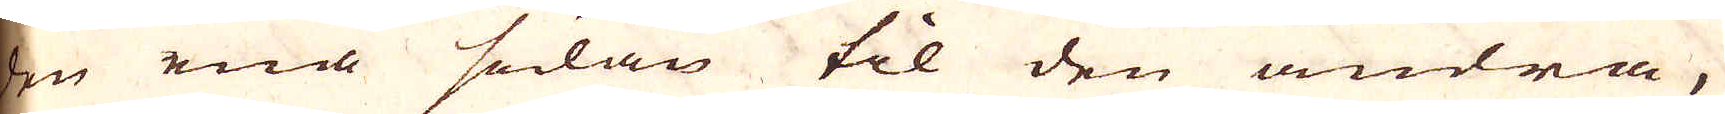den ena sidan til den andra,
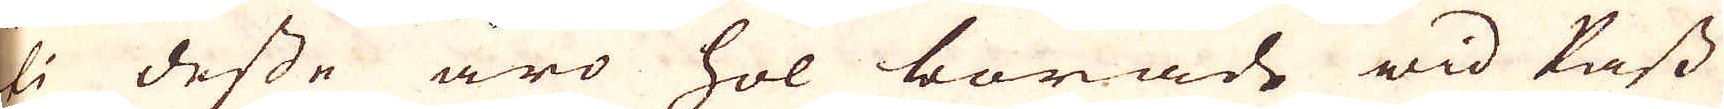uti desse äro hol borade wid Pass
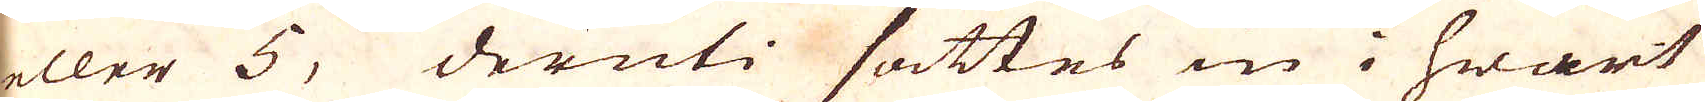eller 5, deruti sättes in i hwart
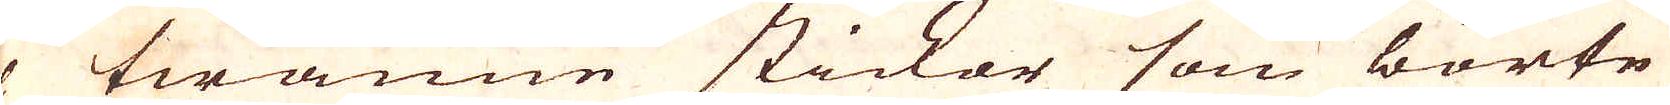hol twänne stickar som börte
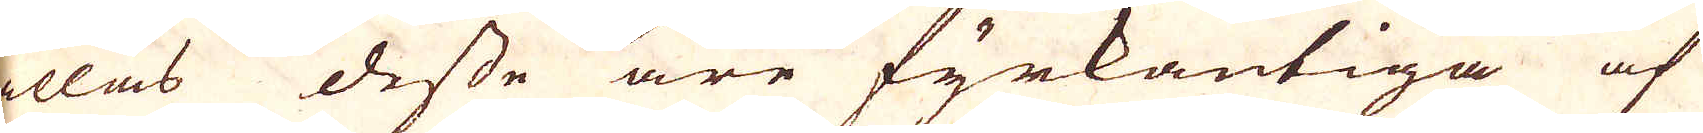kallas desse äre fyrkantiga af
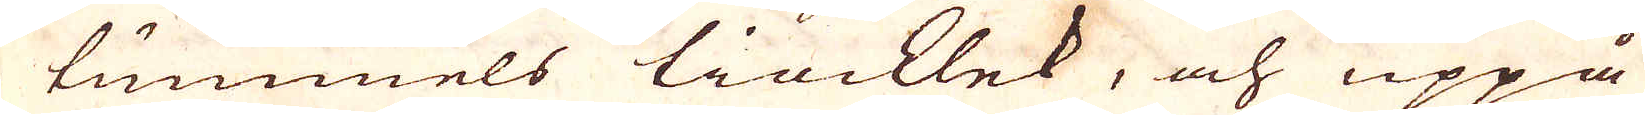en tummels tiocklek, och uppå
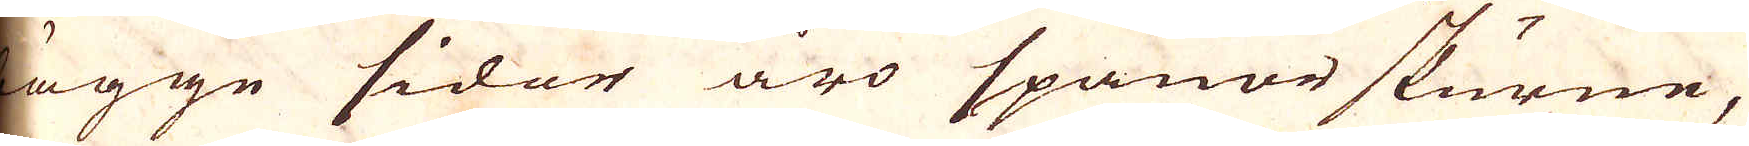bägge sidor äro spänor skurne,
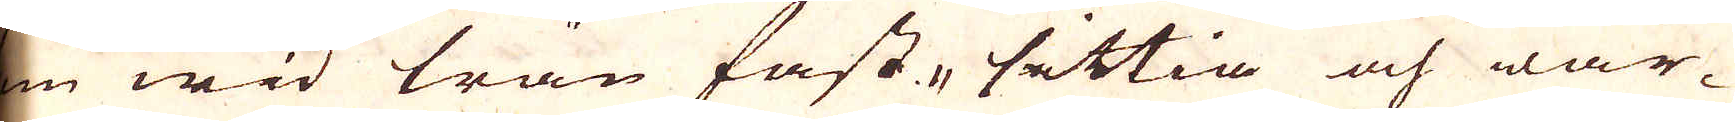som wid trän fast-sättia och war-
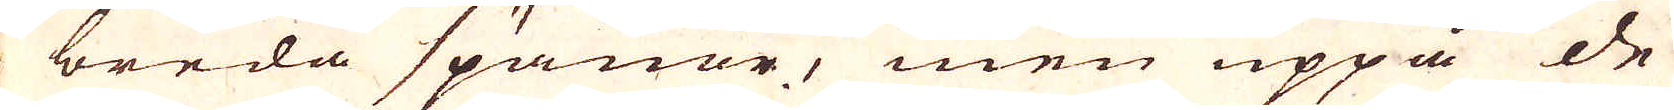ja breda späner, men uppå de
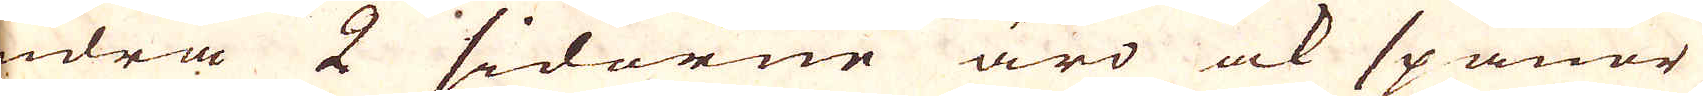andra 2 sidorne äro ock spänor
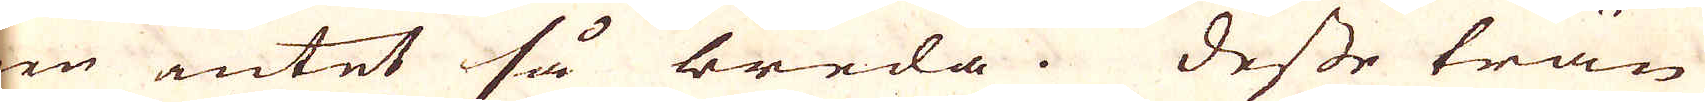men intet så breda. Desse trän
